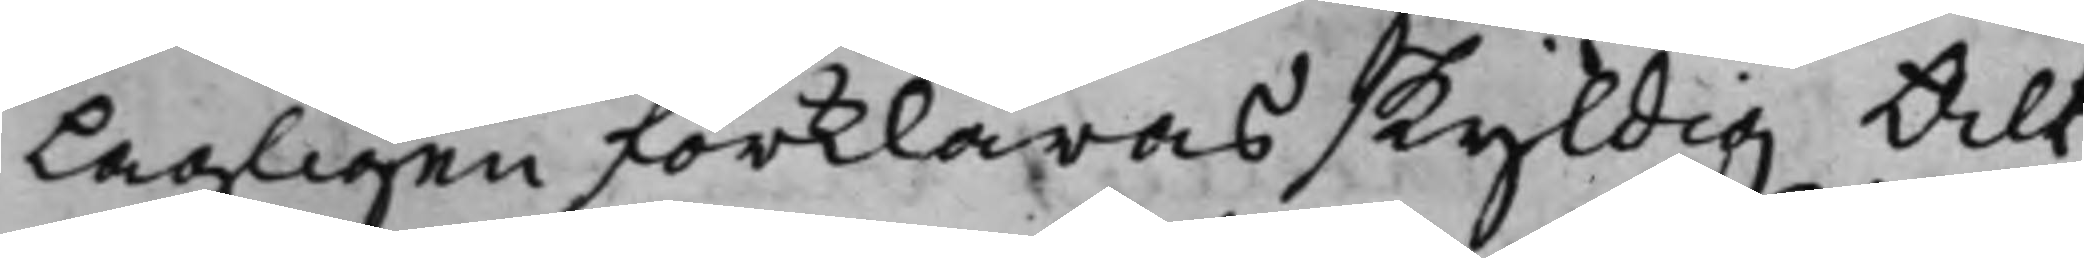Lagligen förklaras skyldig Alt¬
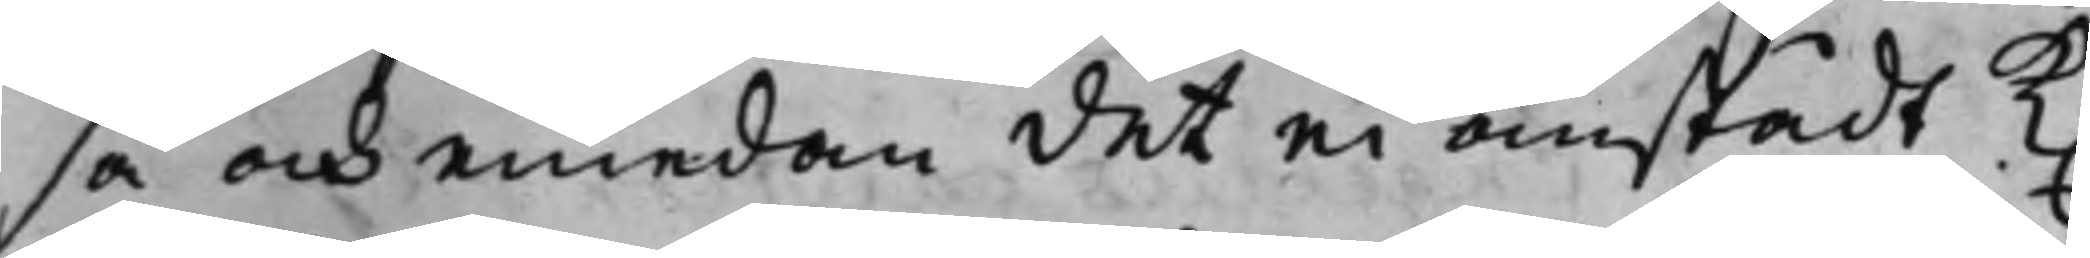så och emedan det ei anstådt K.
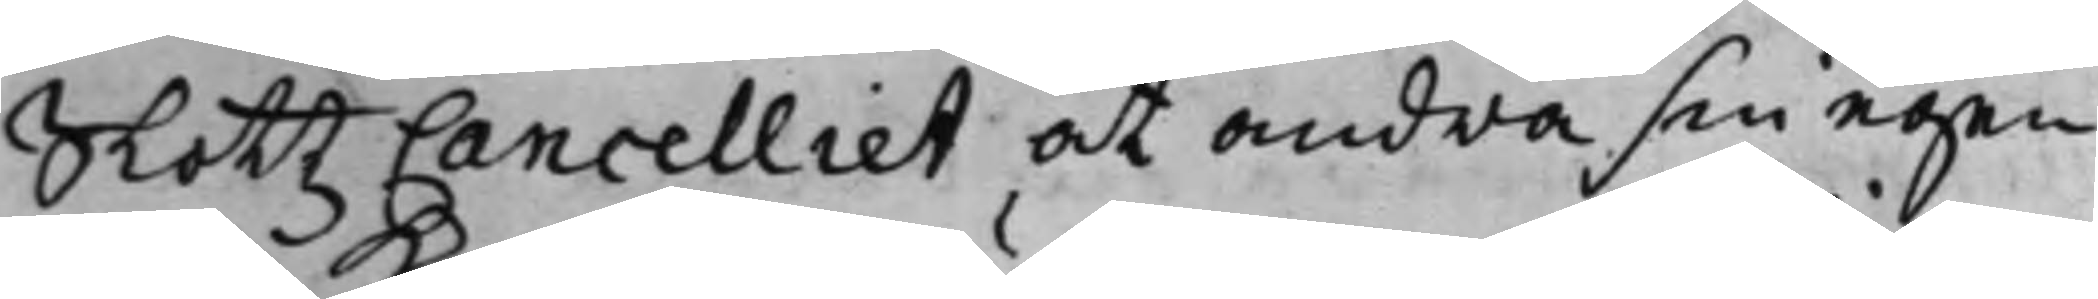SlottzCancelliet at andra sin egen
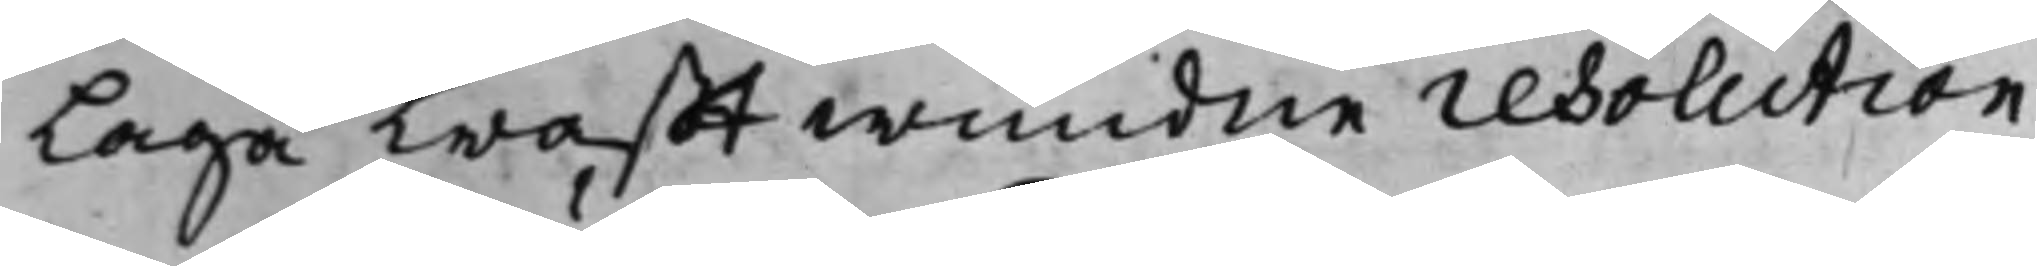Laga krafftwundne resolution
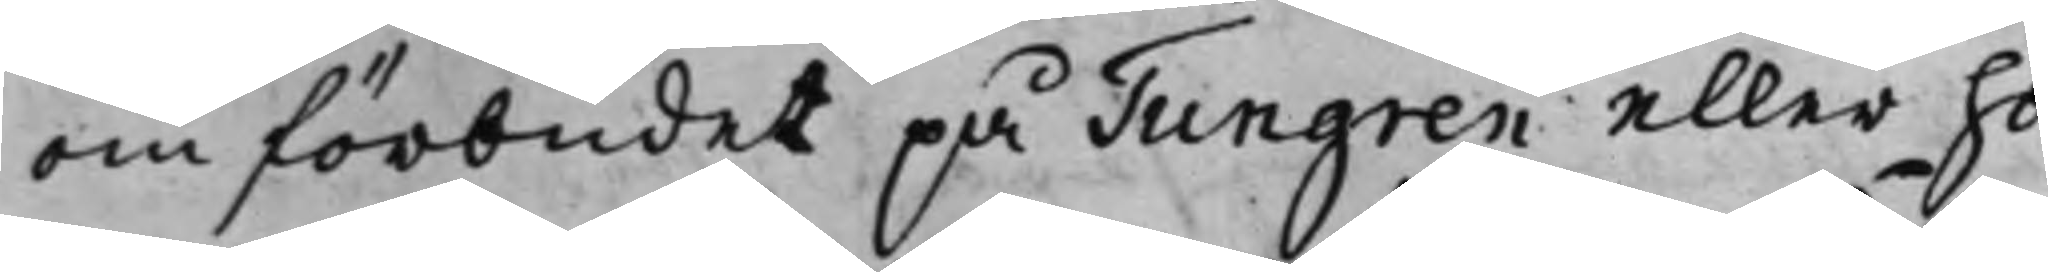om förbudet på Tungren eller ho¬
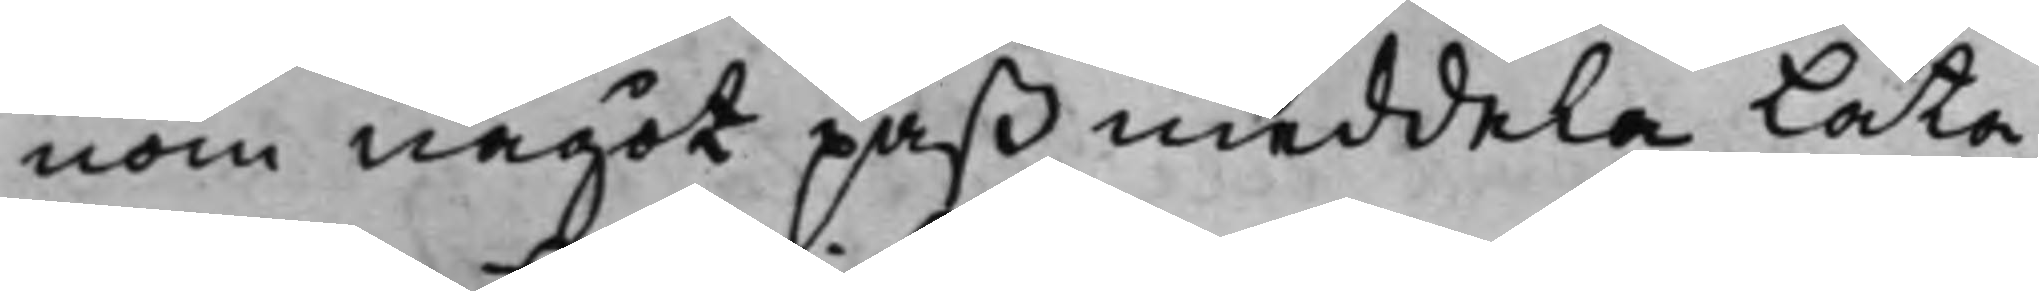nom något paß meddela låta,
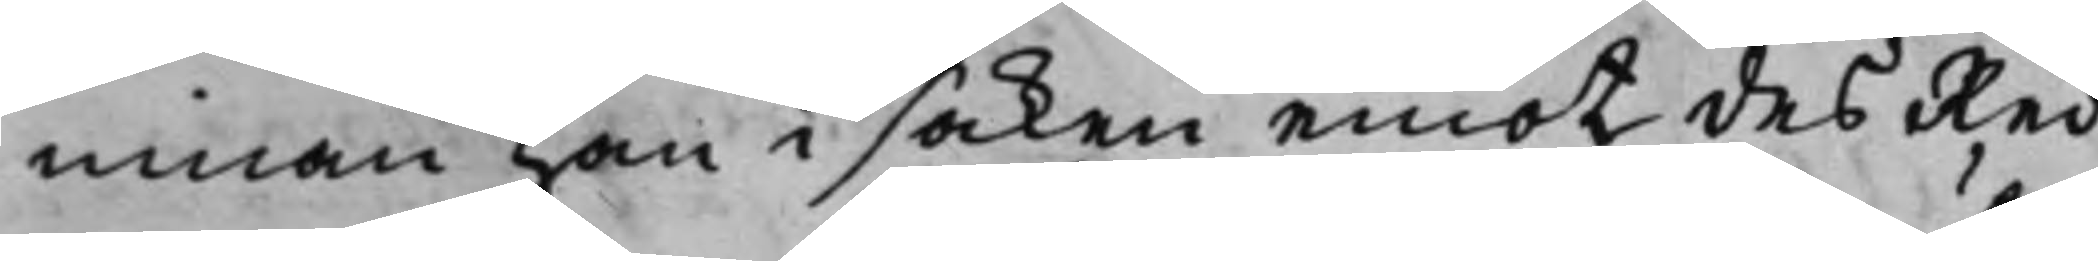innan han i saken emot des Red¬
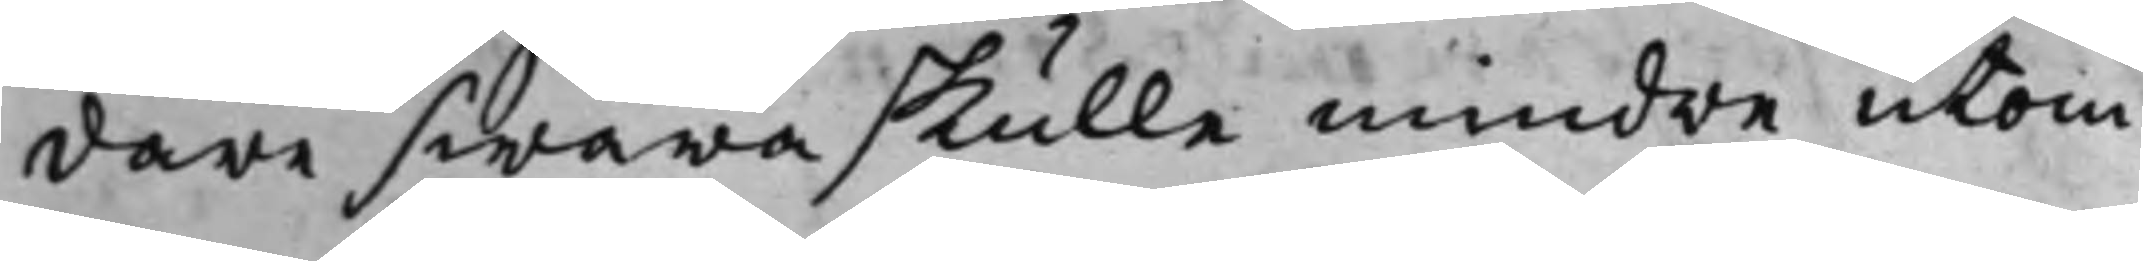dare swara skulle mindre utom
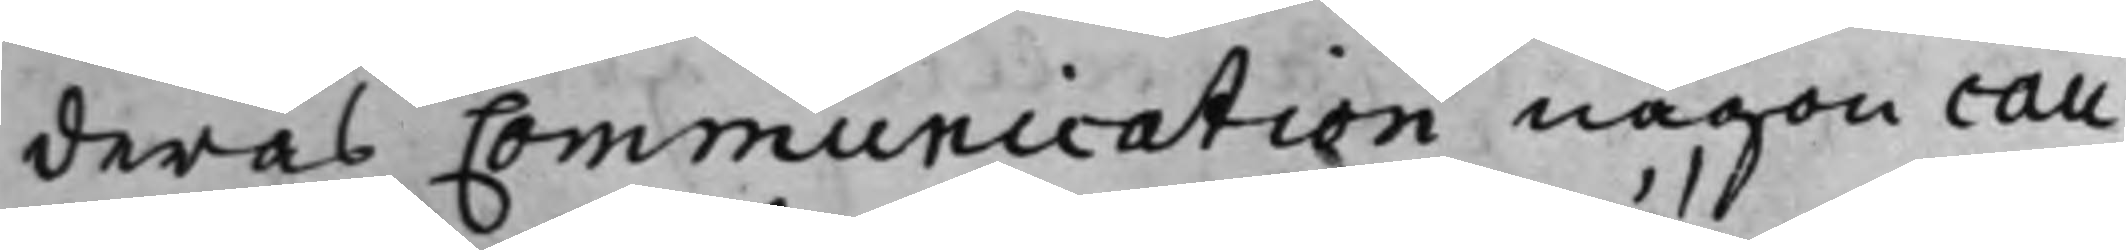deras Communication någon cau¬
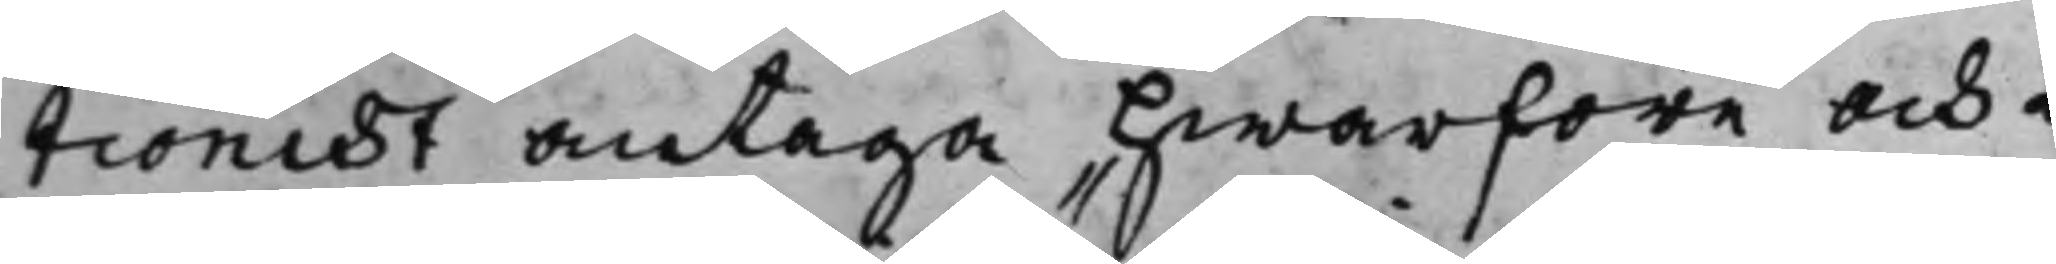tionist antaga hwarföre och i
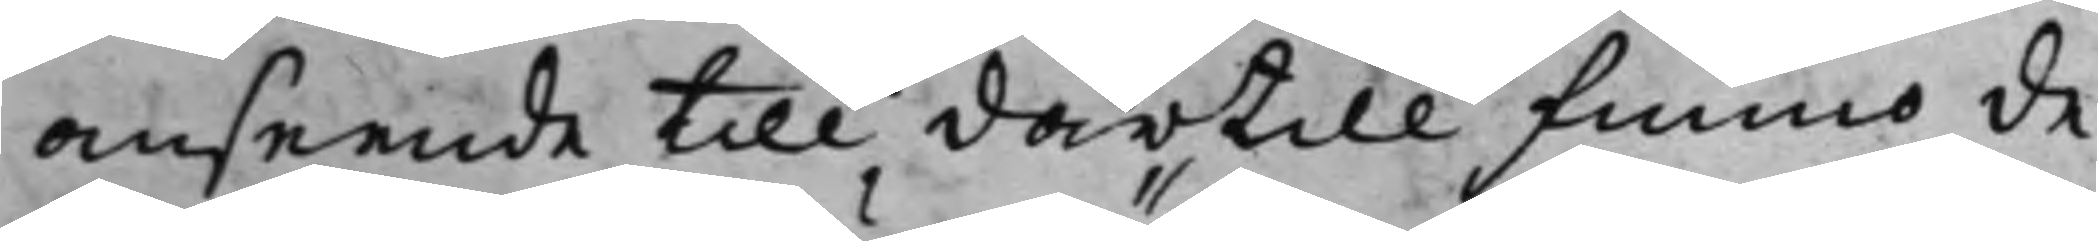anseende till därtill funno de
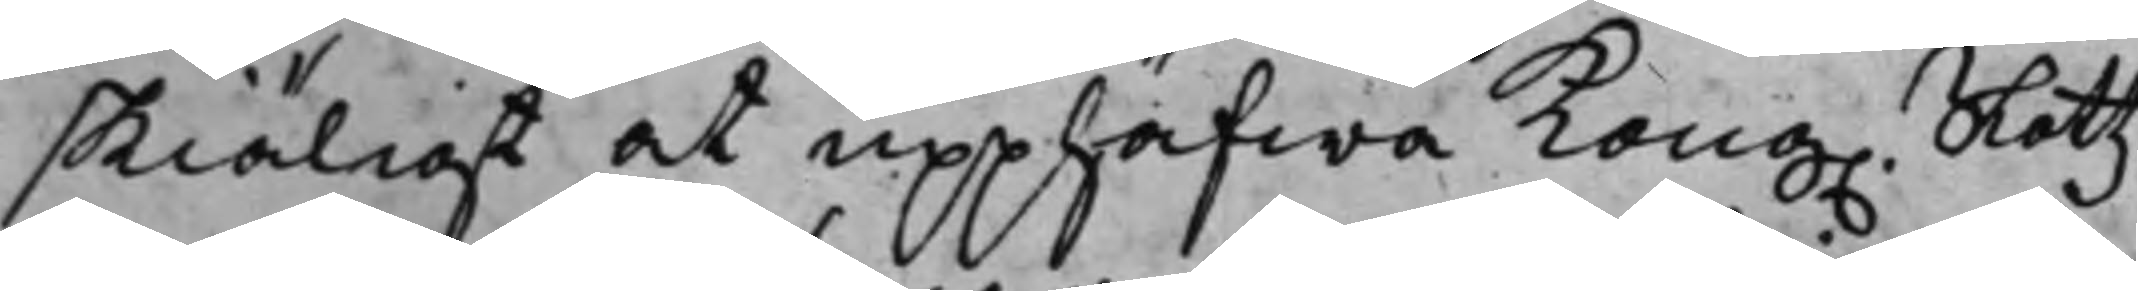skiäligt at upphäfwa Kong. Slåttz¬
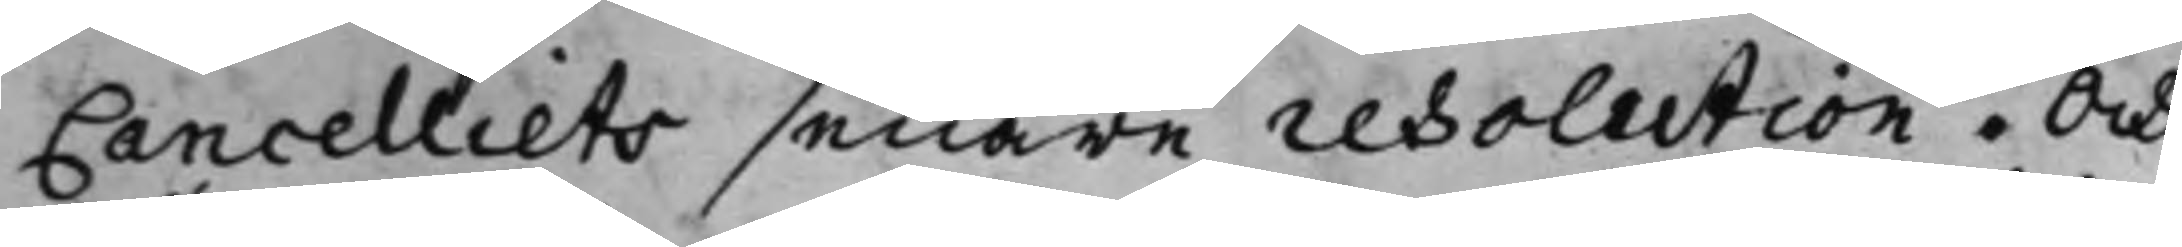Cancelliets senare resolution. Och
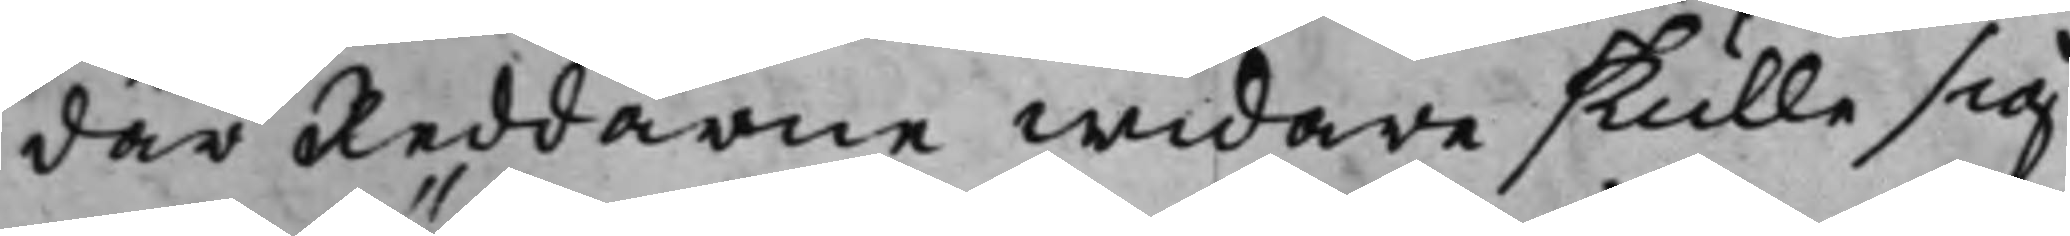där Reddarne widare skulle sig
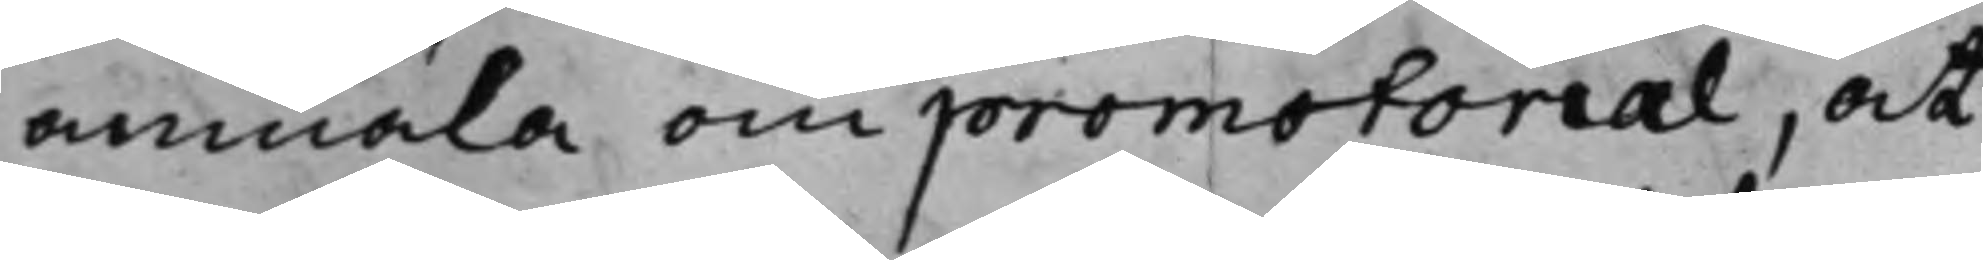anmäla om promotorial, at
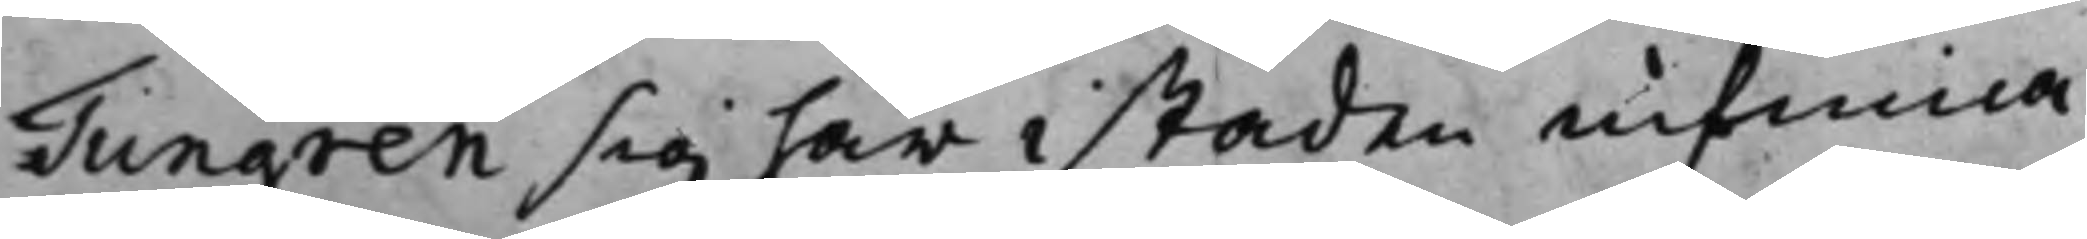Tungren sig här i staden infinna
